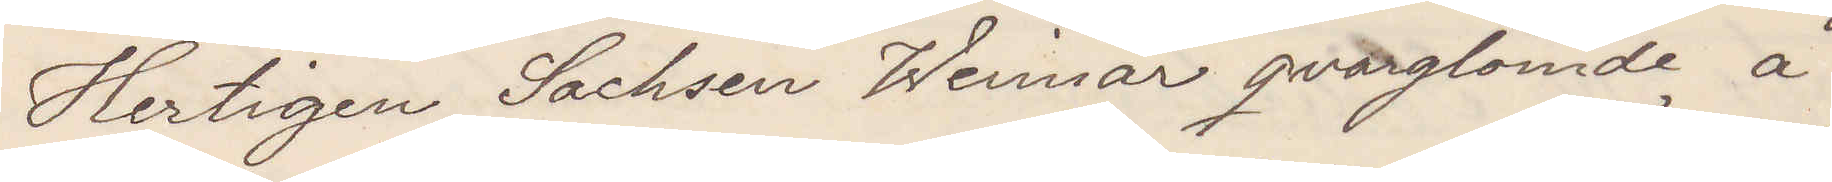Hertigen Sachsen Weimar qvarglömde å
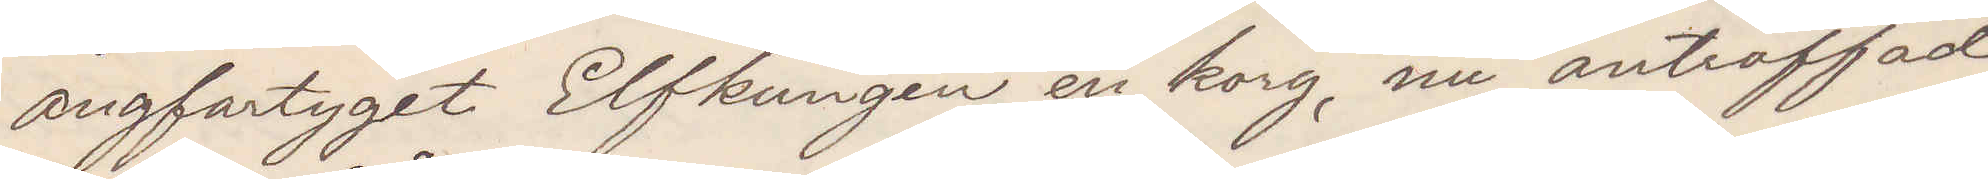ånfartyget Elfkungen en korg nu anträffad
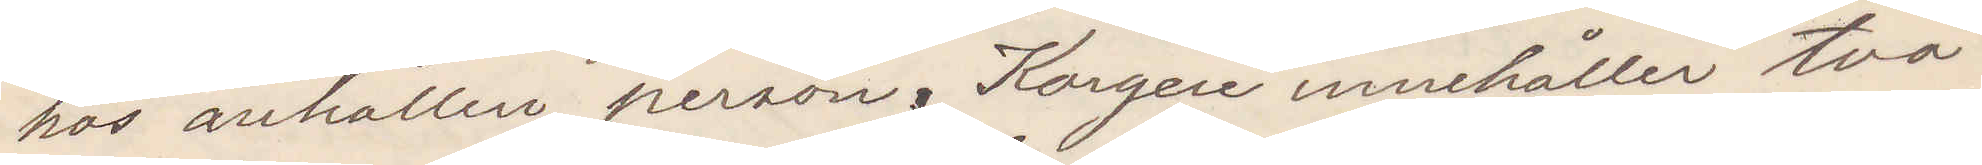hos anhållen person. Korgen innehåller två
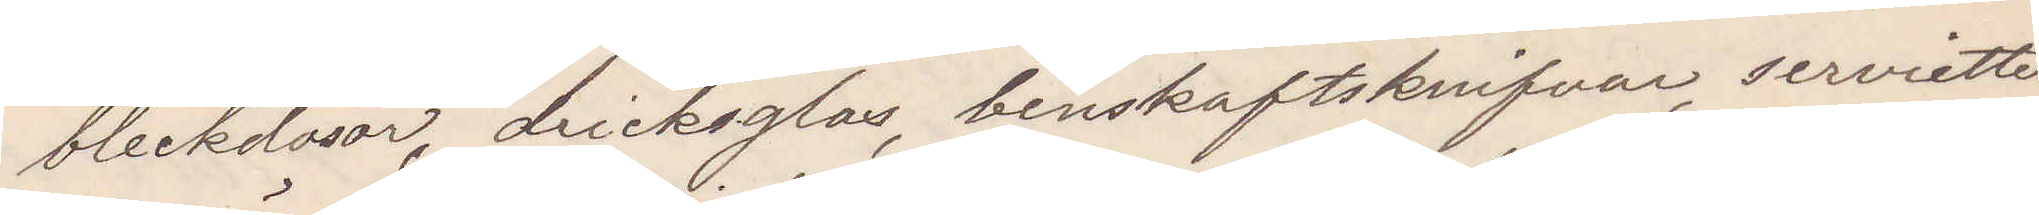bleckdosor, dricksglas, benskaftsknifvar, servietter
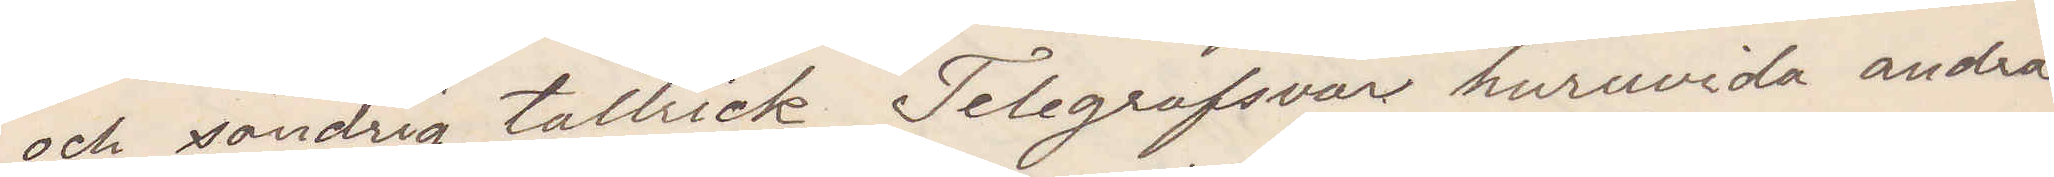och söndrig tallrick. Telegrafsvar huruvida andra
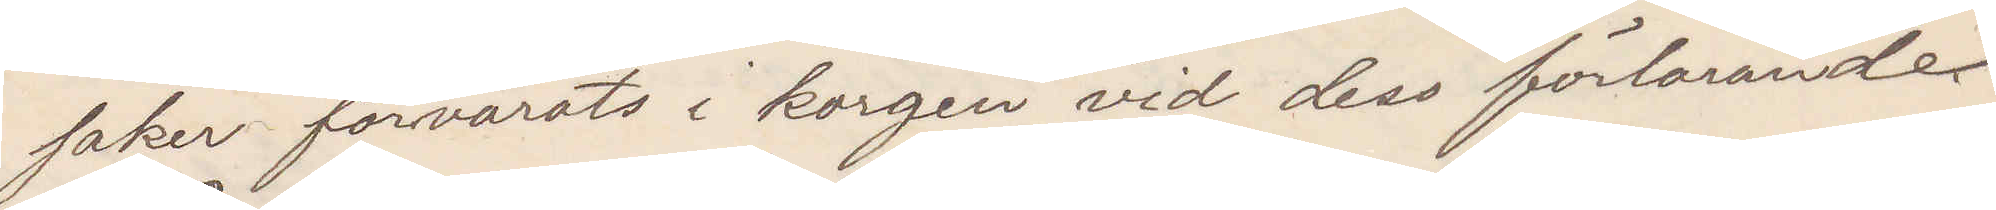saker förvarats i korgen vid dess förlorande
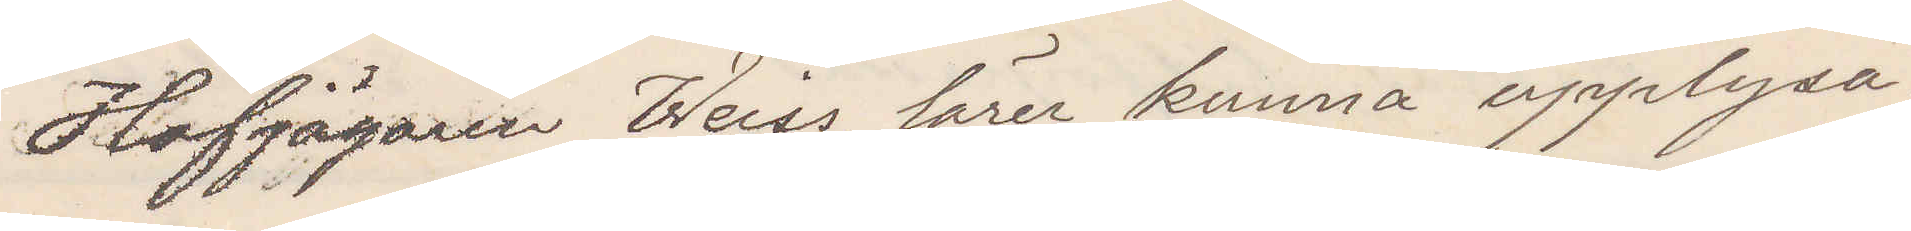Hofjägaren Weiss lärer kunna upplysa.
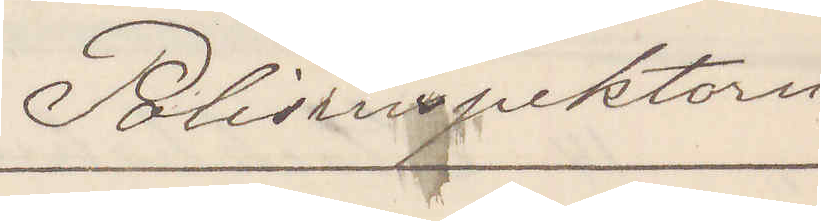Polisinspektorn
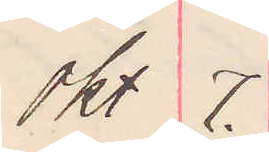Okt 7.
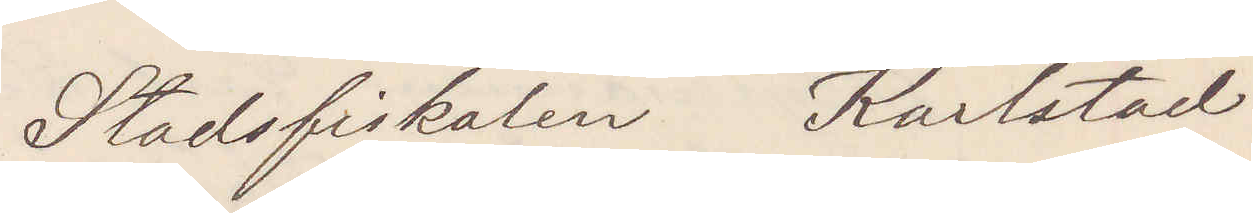Stadsfiskalen Karlstad
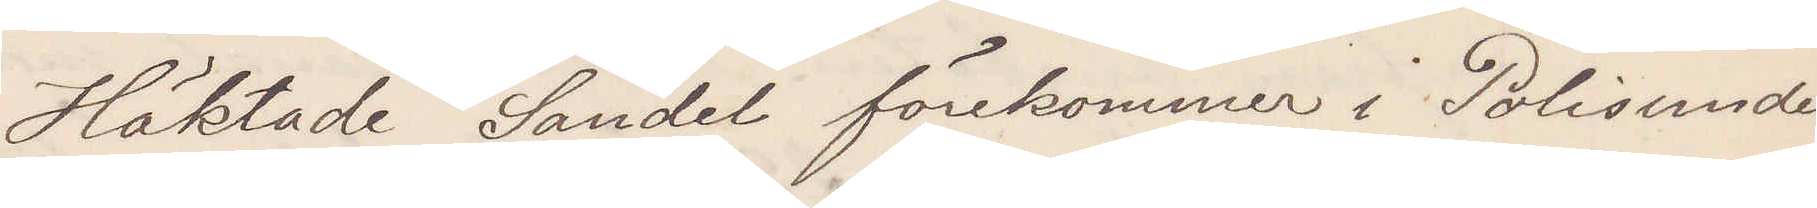Häktade Sandel förekommer i Polisunder¬
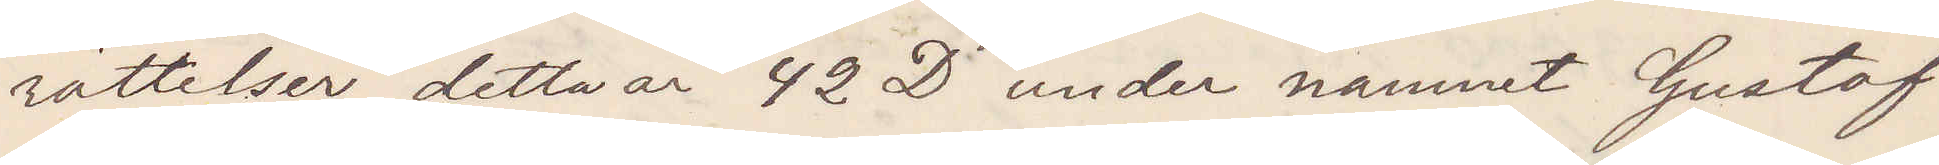rättelser detta år 42 D under namnet Gustaf
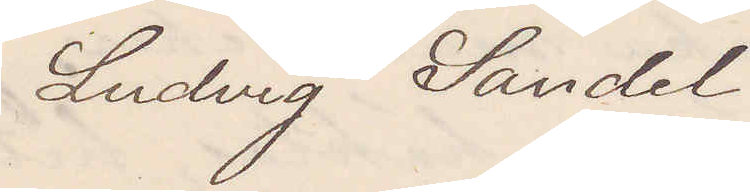Ludvig Sandel
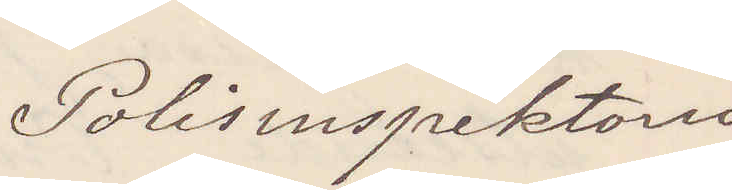Polisinspektorn
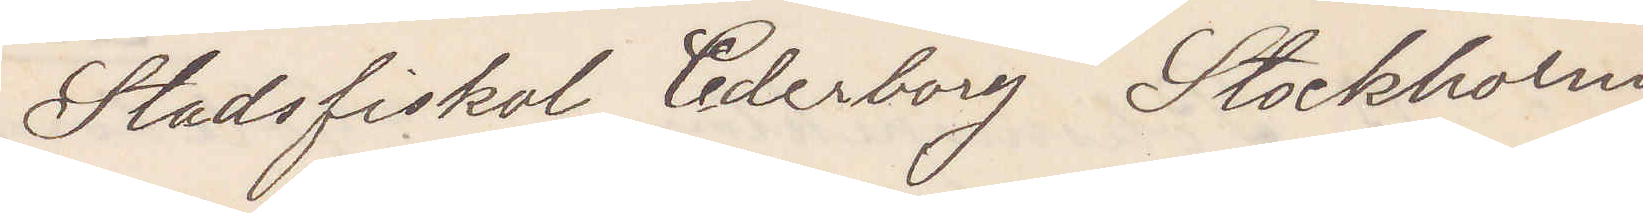Stadsfiskal Cederborg Stockholm
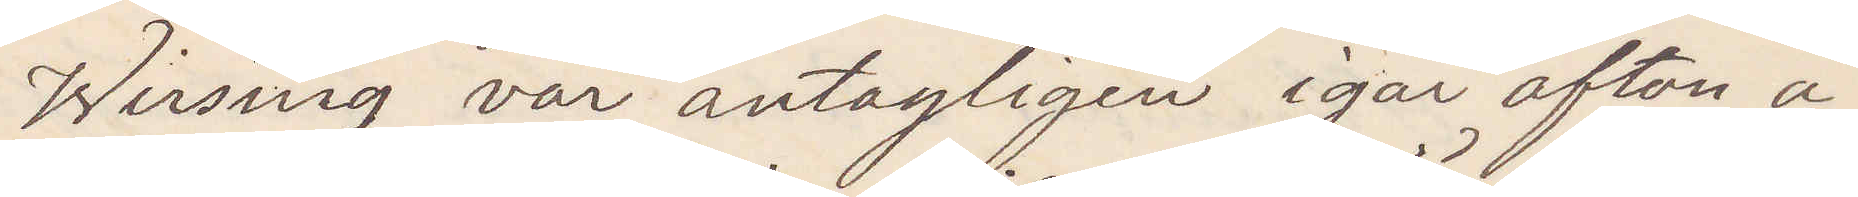Wirsing var antagligen igår afton å
